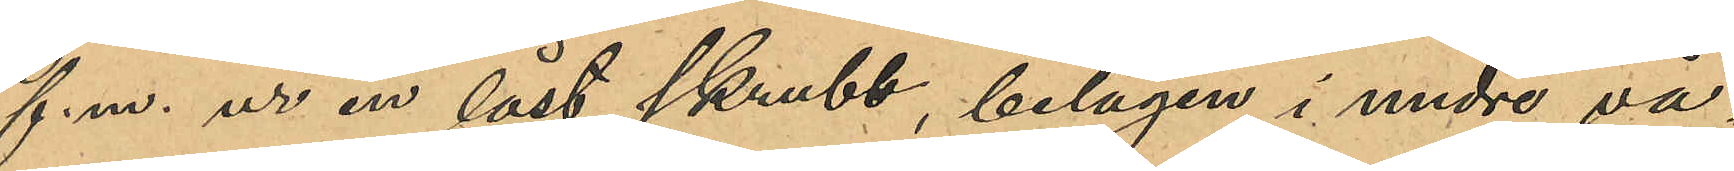f.m. ur en låst skrubb, belägen i undre vå¬
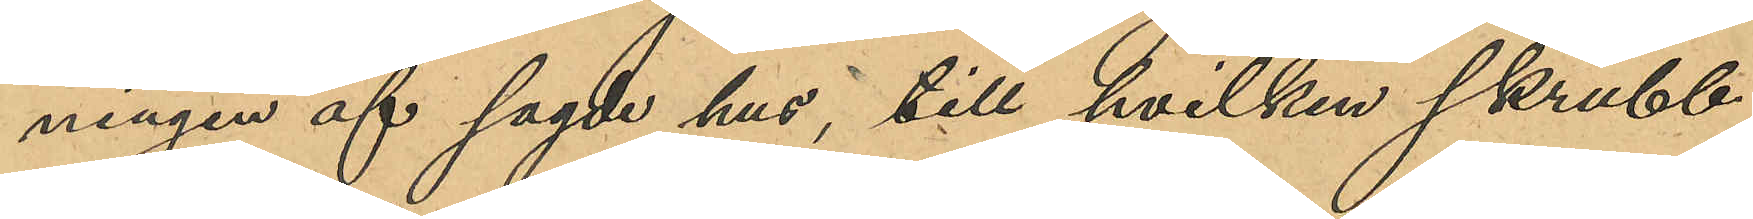ningen af sagde hus, till hvilken skrubb
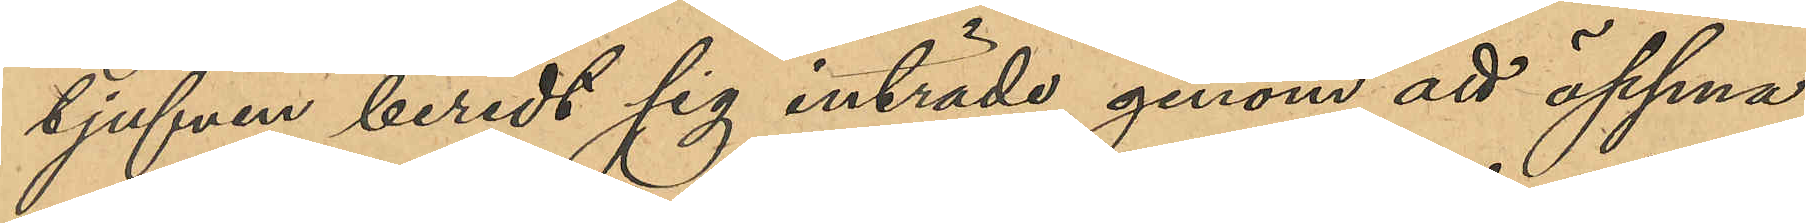tjufven beredt sig inträde genom att öppna
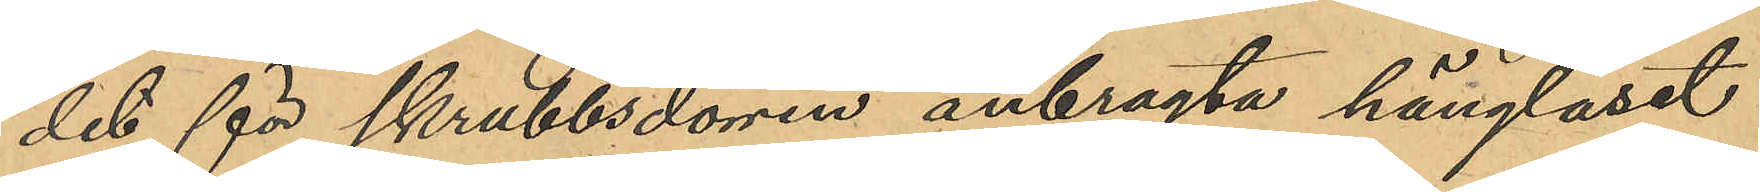det för skrubbsdörren anbragta hänglåset
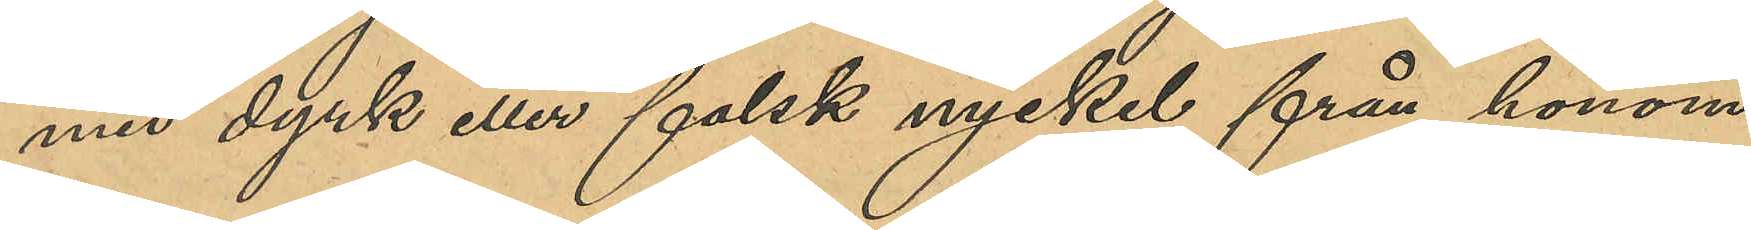med dyrk eller falsk nyckel från honom
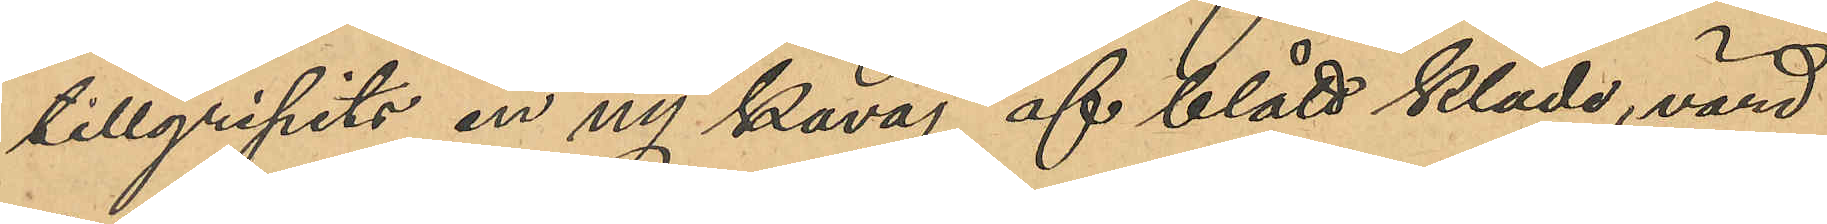tillgripit en ny kavaj af blått kläde, värd
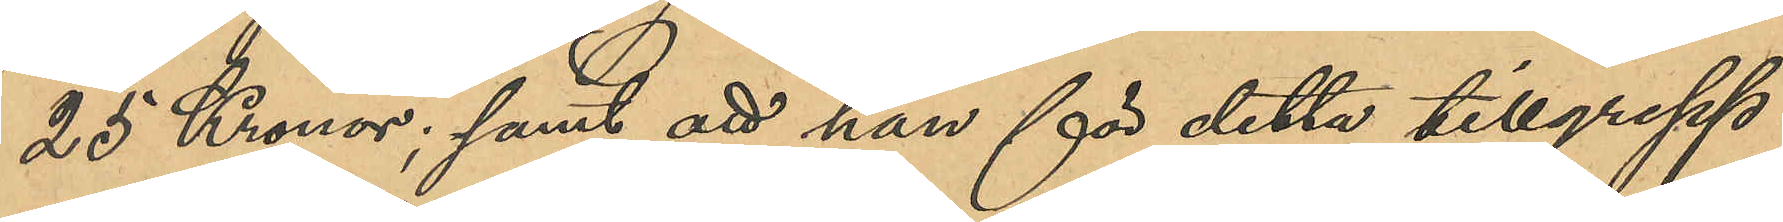25 kronor; samt att han för detta tillgrepp
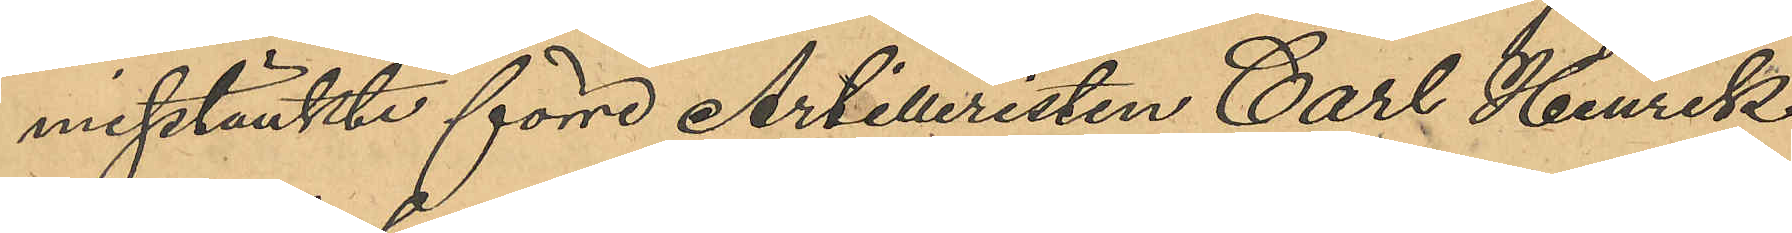misstänkte förre Artilleristen Carl Henrik
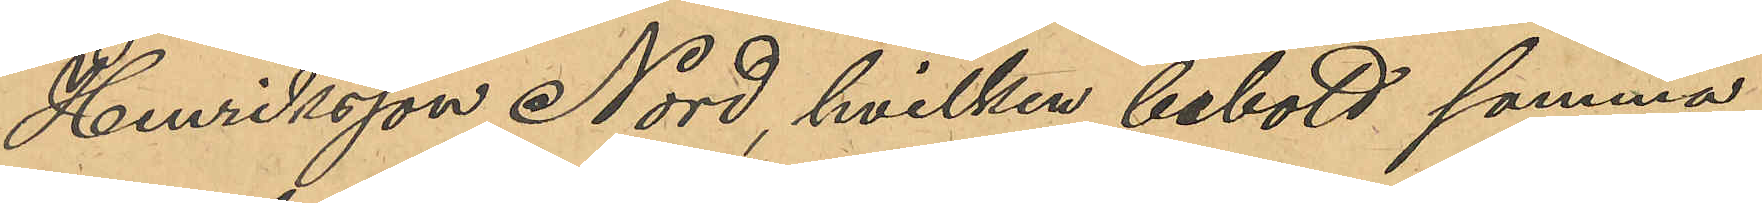Henriksson Nord, hvilken bebott samma
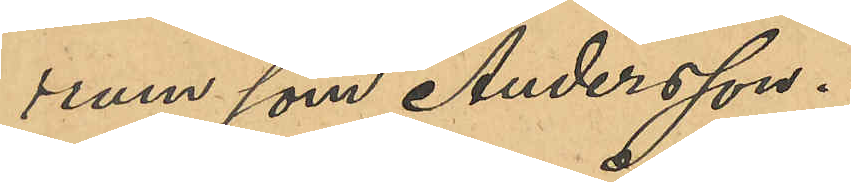rum som Andersson.
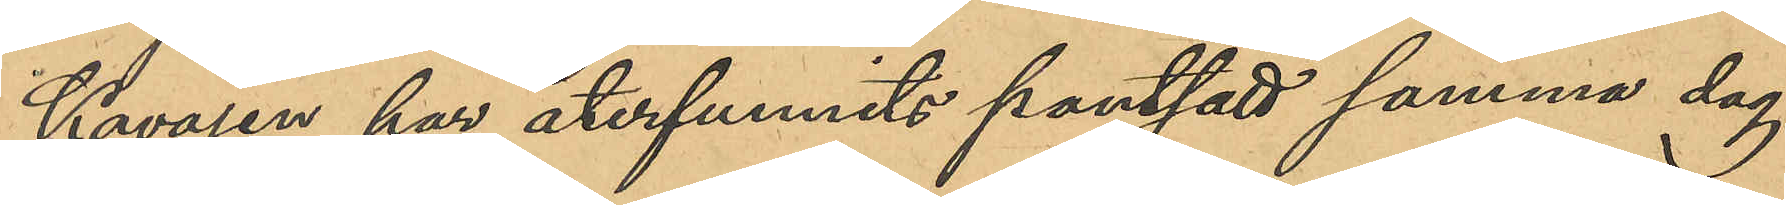Kavajen har återfunnits pantsatt samma dag
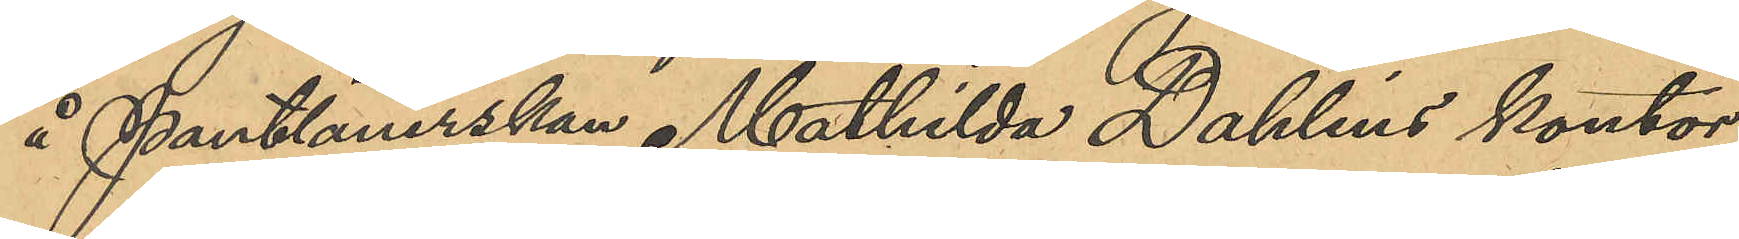å Pantlånerskan Mathilda Dahlins kontor
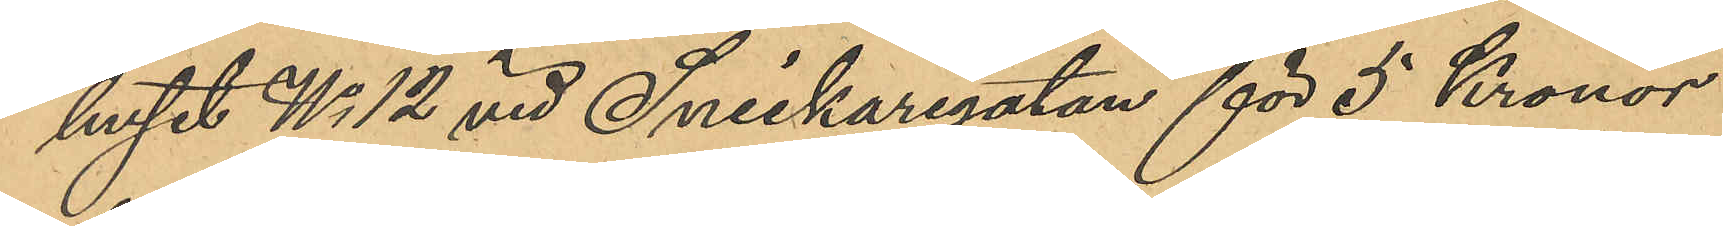i huset No 12 vid Snickaregatan för 5 Kronor
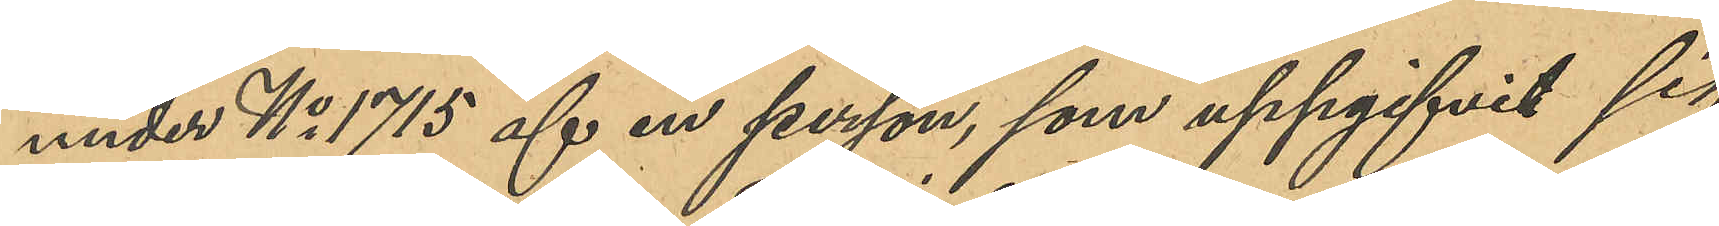under No 1715 af en person som uppgifvit sig
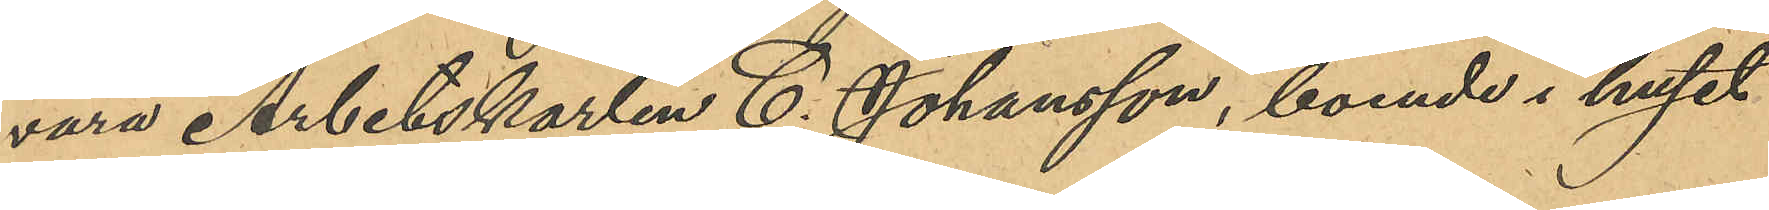vara Arbetskarlen C. Johansson, boende i huset
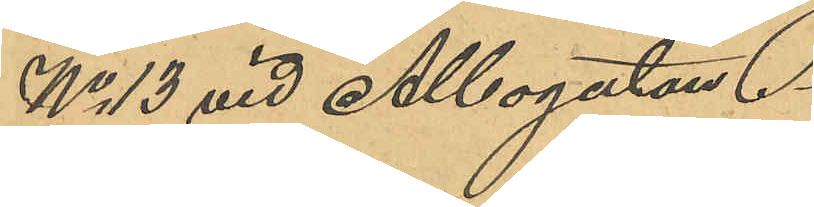No 13 vid Albogatan.
